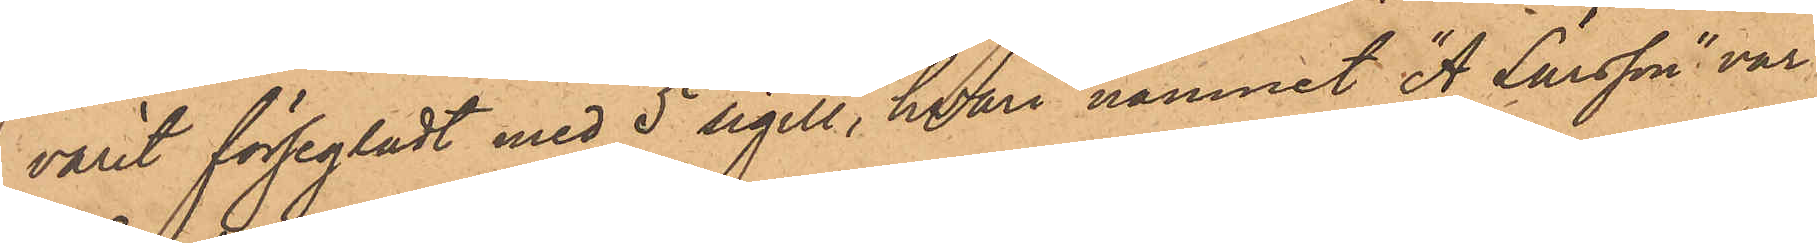varit försegladt med 5 sigill, hvari namnet "A. Larsson" var
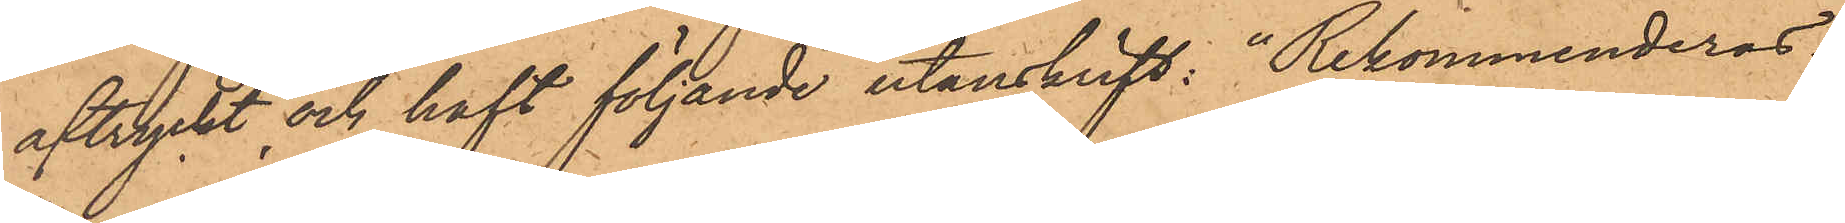aftryckt och haft följande utanskrift: "Rekommenderas.
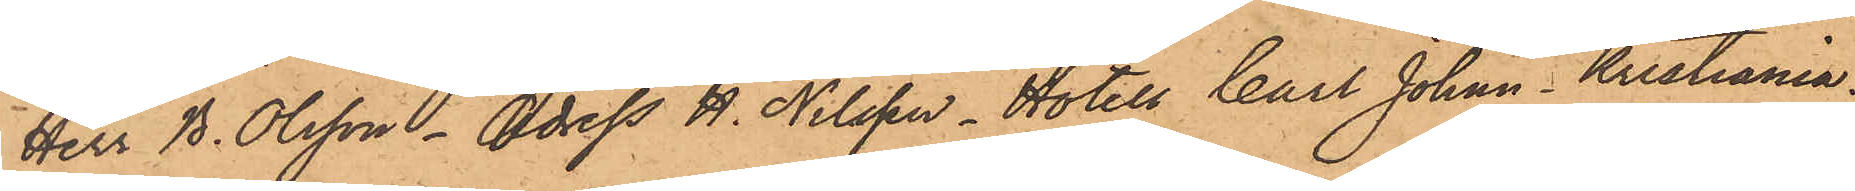Herr B. Olsson,  Adress H. Nilsson, Hotell Carl Johan, Kristiania;
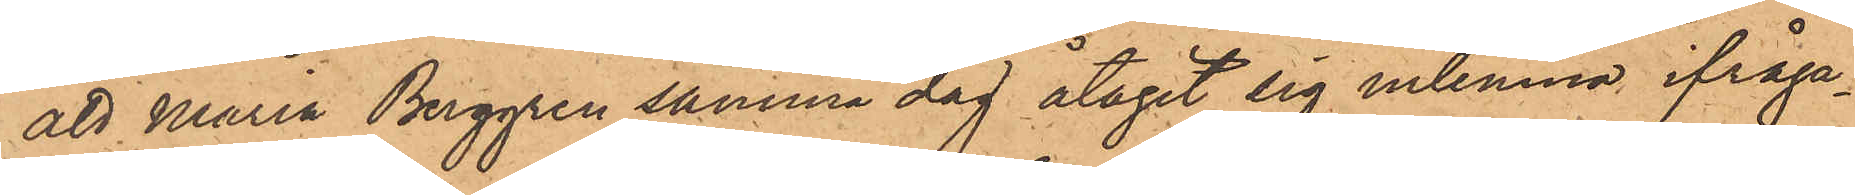att Maria Berggren samma dag åtagit sig inlemna ifråga¬
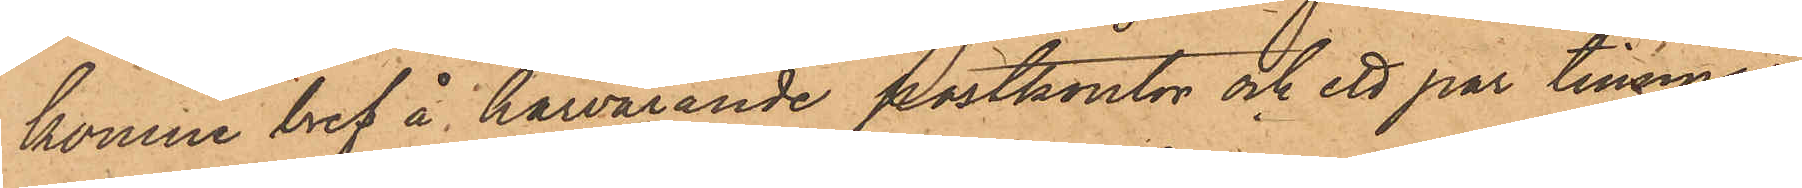komne bref å härvarande postkontor och ett par timmar
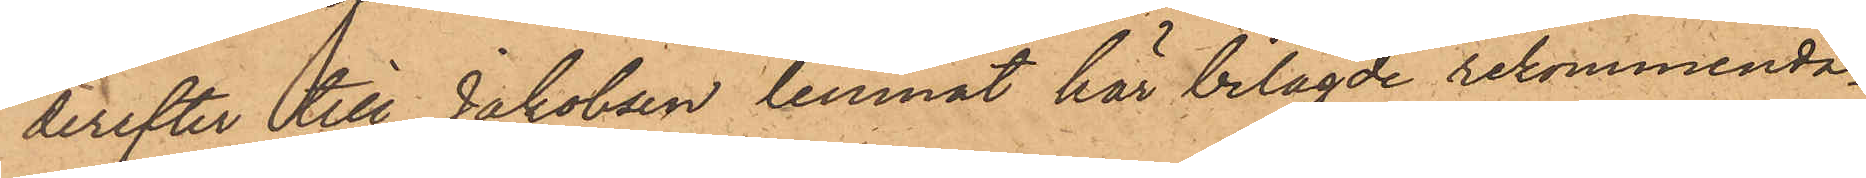derefter till Jakobsen lemnat här bilagde rekommenda¬
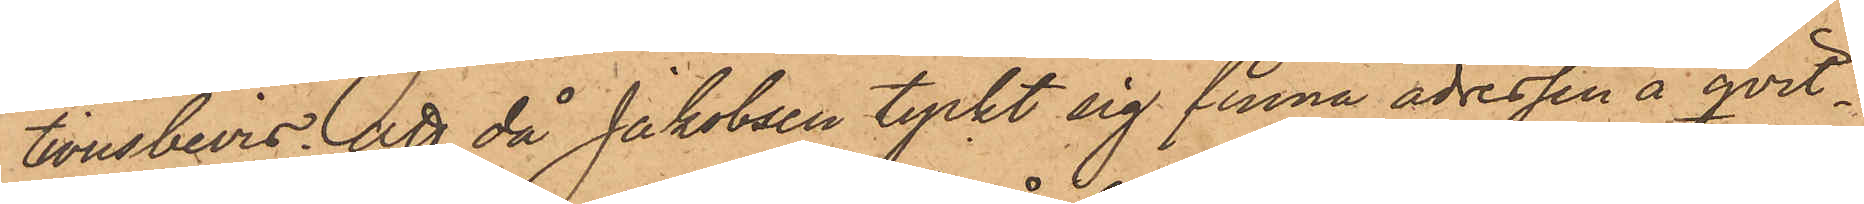tionsbevis; att då Jakobsen tyckt sig finna adressen å qvit¬
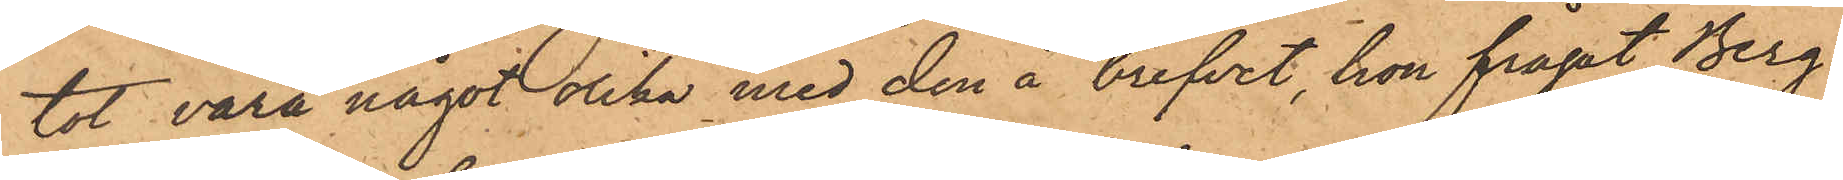tot vara något olika med den å brefvet, hon frågat Berg¬
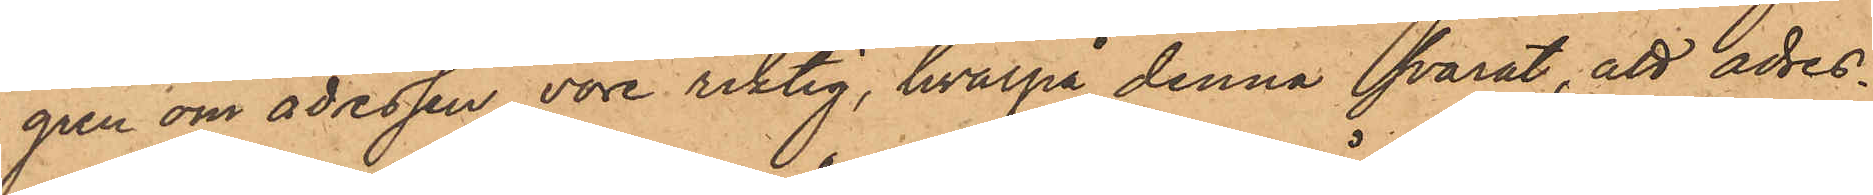gren om adressen vore riktig, hvarpå denna svarat, att adres¬
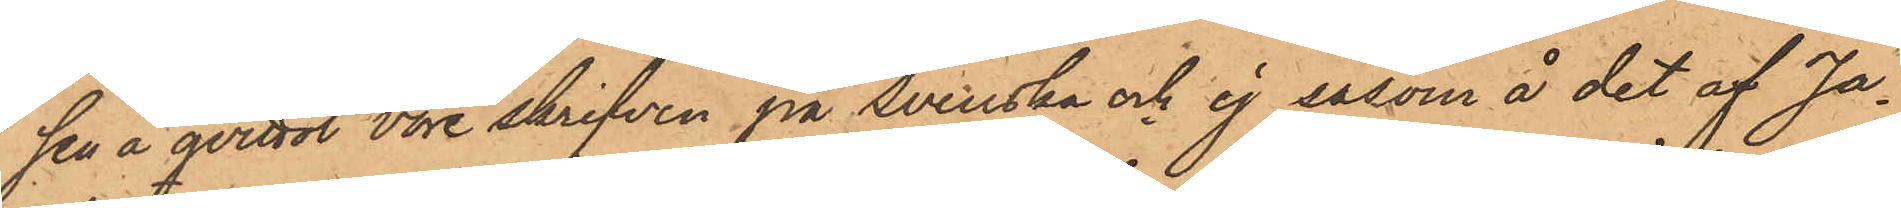sen å qvittot vore skrifven på Svenska och ej såsom å det af Ja¬
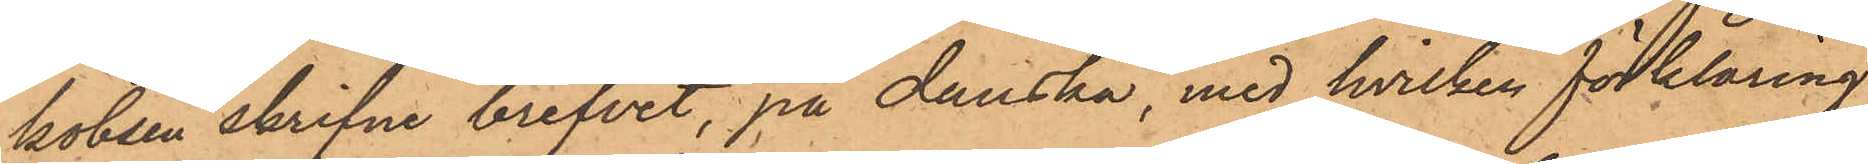kobsen skrifne brefvet, på danska, med hvilken förklaring
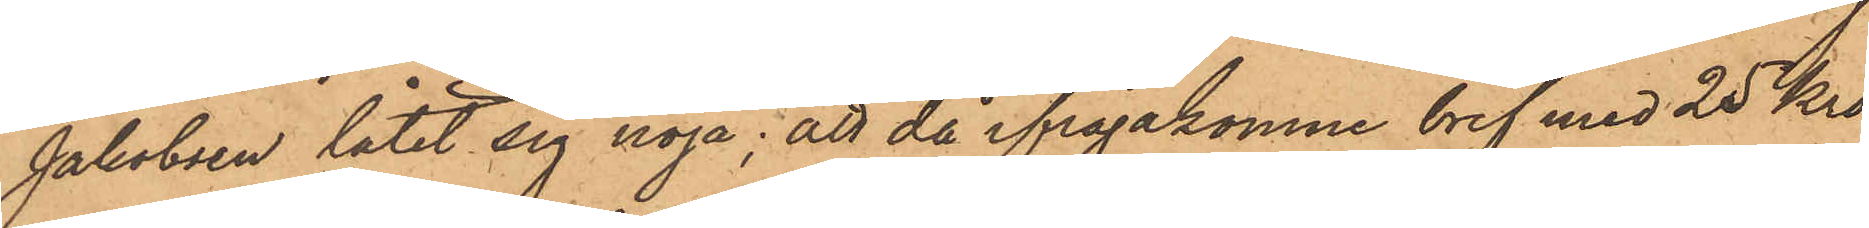Jakobsen låtit sig nöja; att då ifrågakomne bref med 25 Kro¬
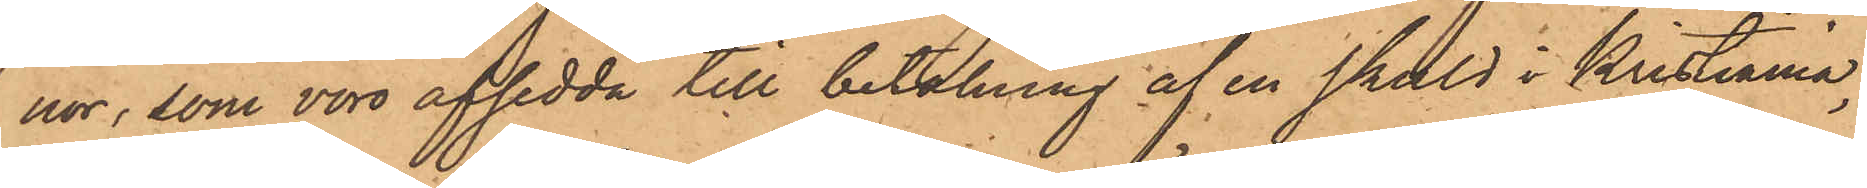nor, som voro afsedda till betalning af en skuld i Kristiania,
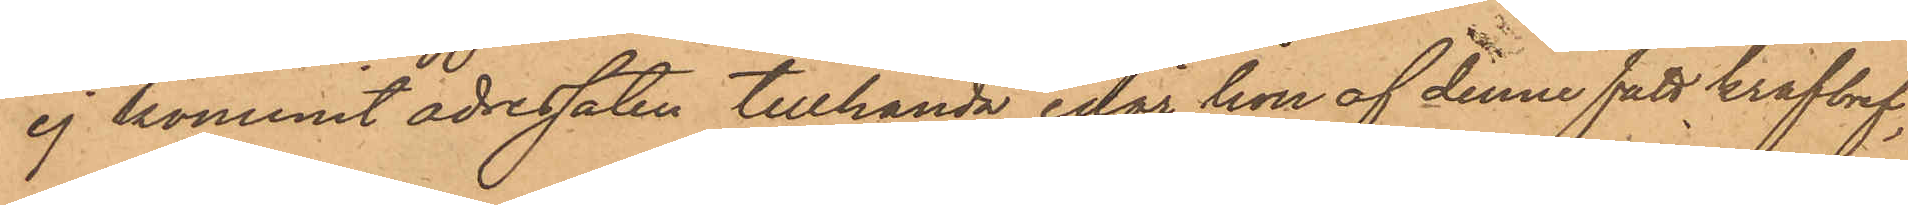ej kommit adressaten tillhanda, enär hon af denne fått krafbref,
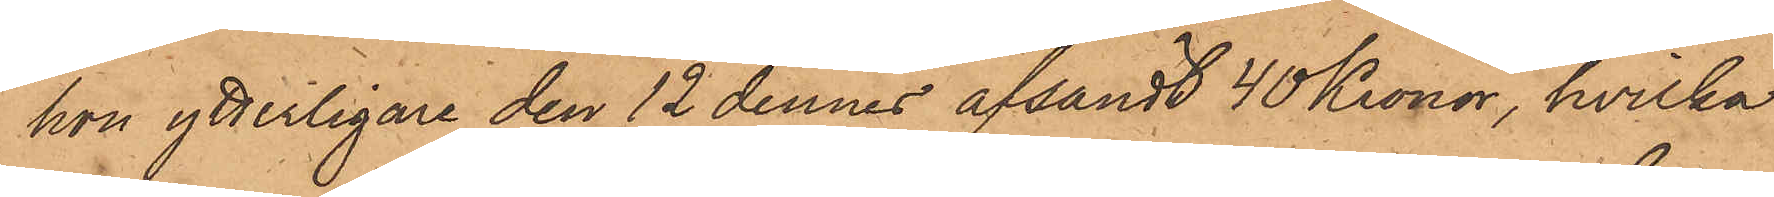hon ytterligare den 12 dennes afsändt 40 Kronor, hvilka
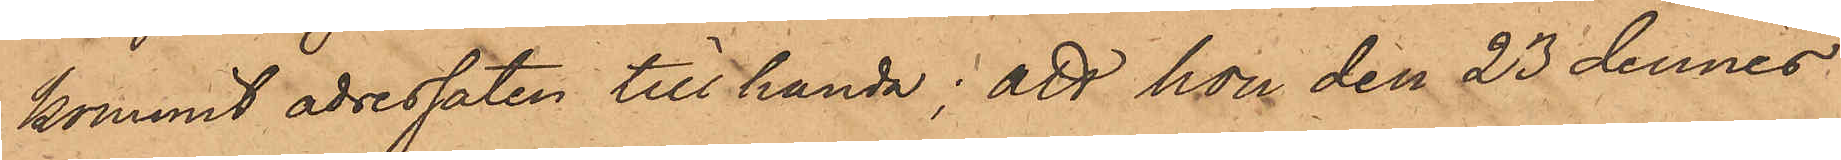kommit adressaten till handa; att hon den 23 dennes
